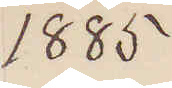1885
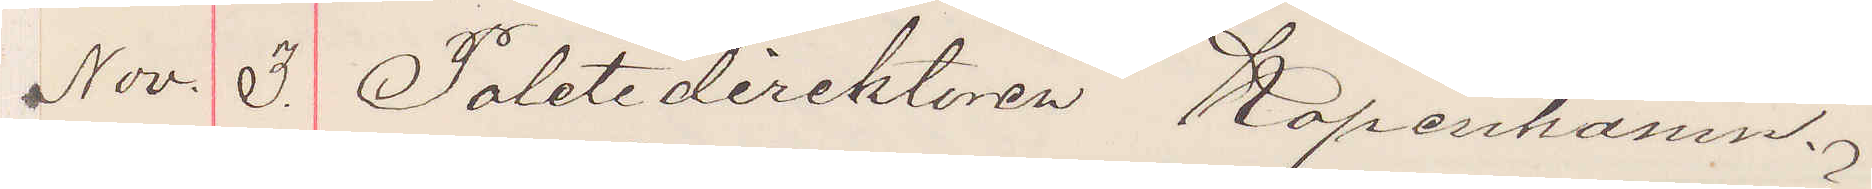Nov. 3. Poletidirektören Köpenhamn.
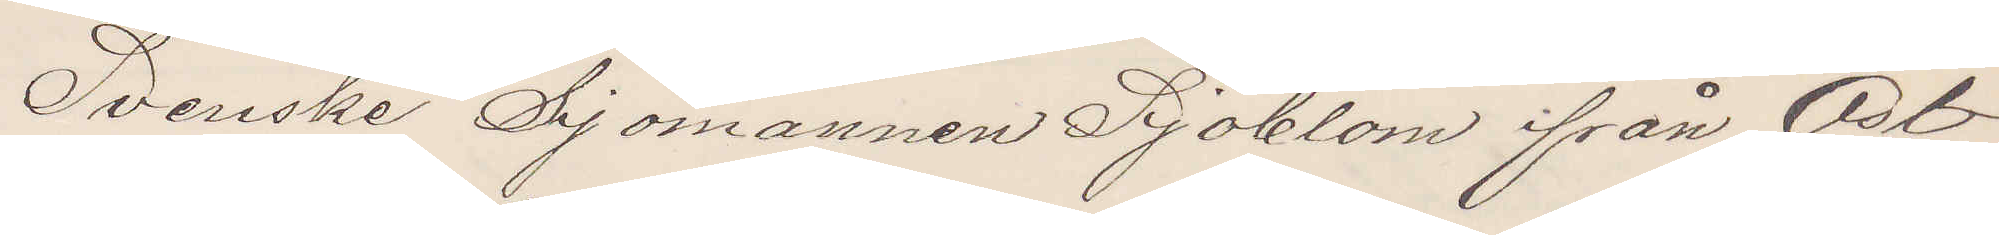Svenske Sjömannen Sjöblom ifrån Öst¬
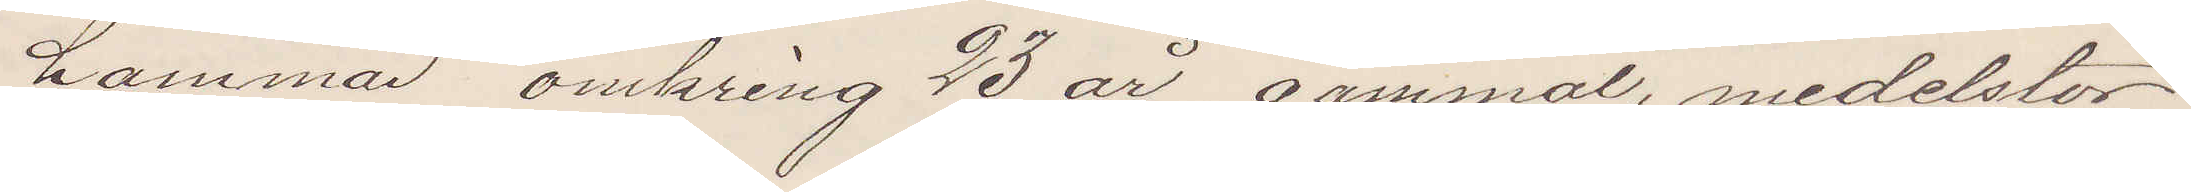hammar omkring 43 år gammal, medelstor
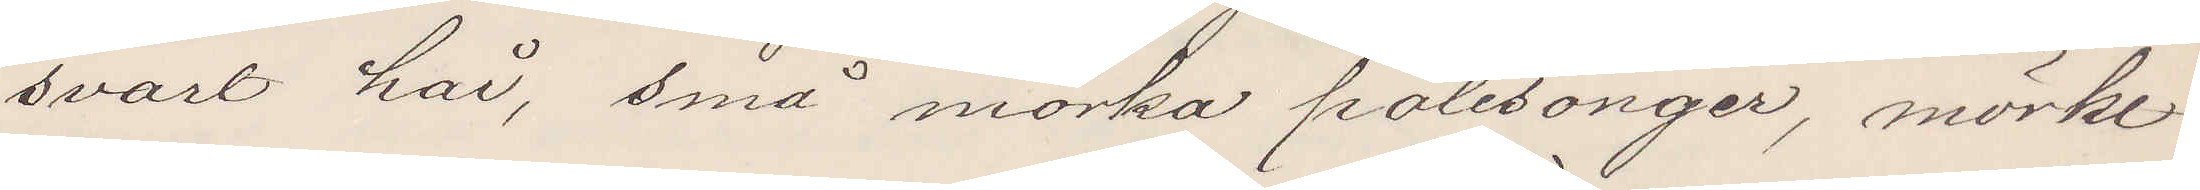svart hår, små mörka polisonger, mörkt
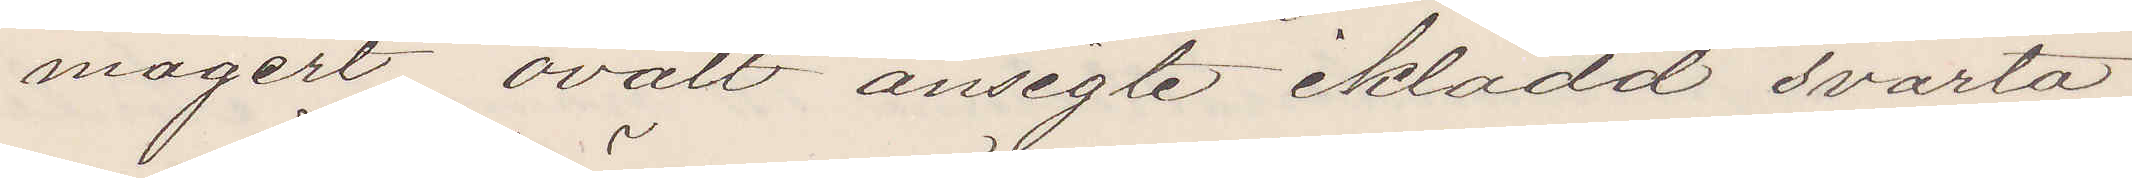magert ovalt ansigte iklädd svarta
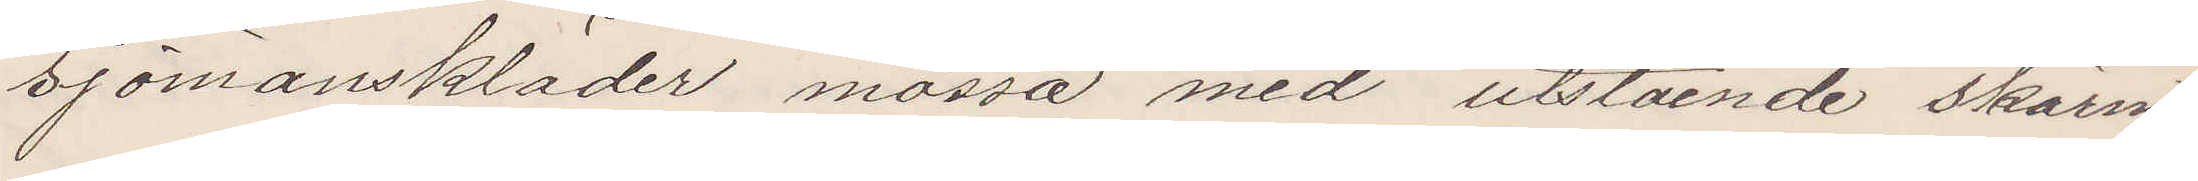sjömanskläder, mössa med utstående skärm
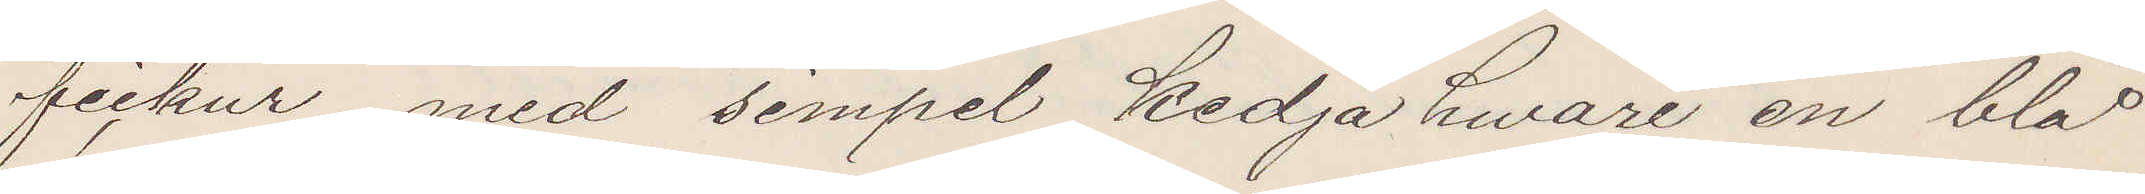fickur med simpel kedja hwari en blå
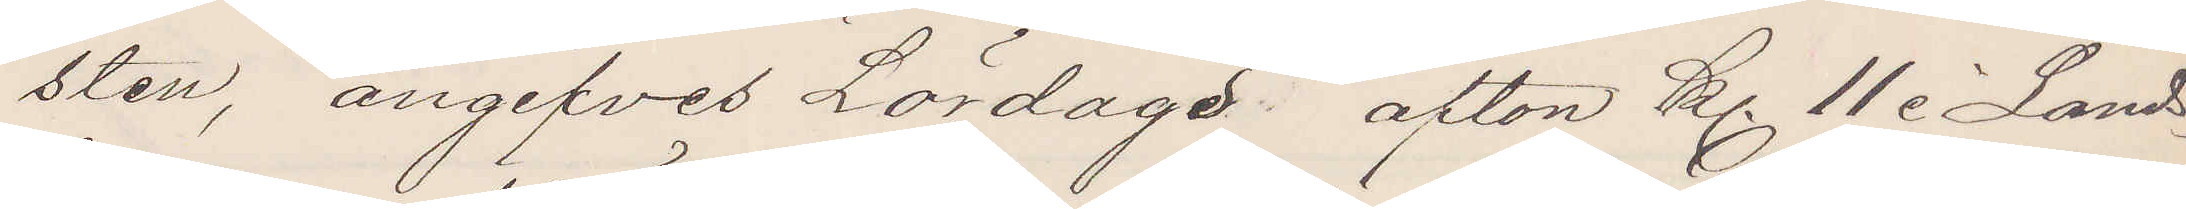sten, angifves Lördage afton Kl 11 i Lands¬
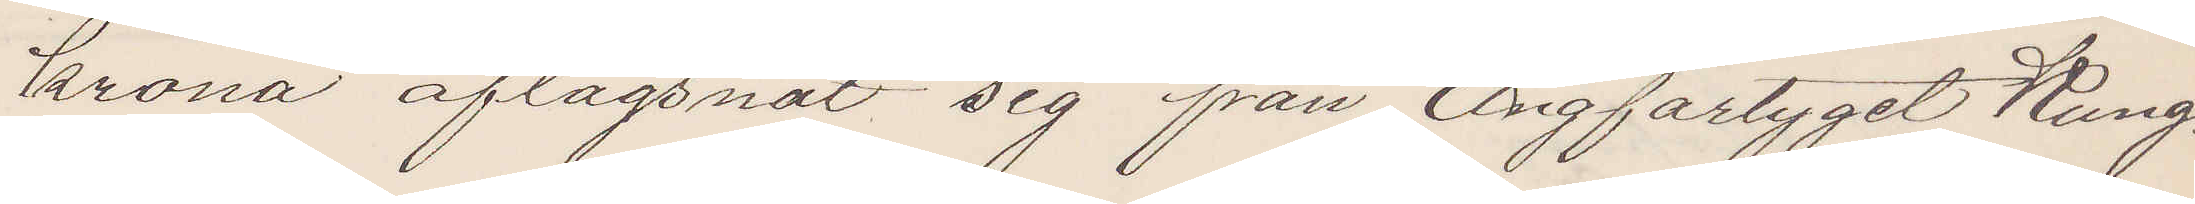krona aflägsnat sig från Ångfartyget Kung
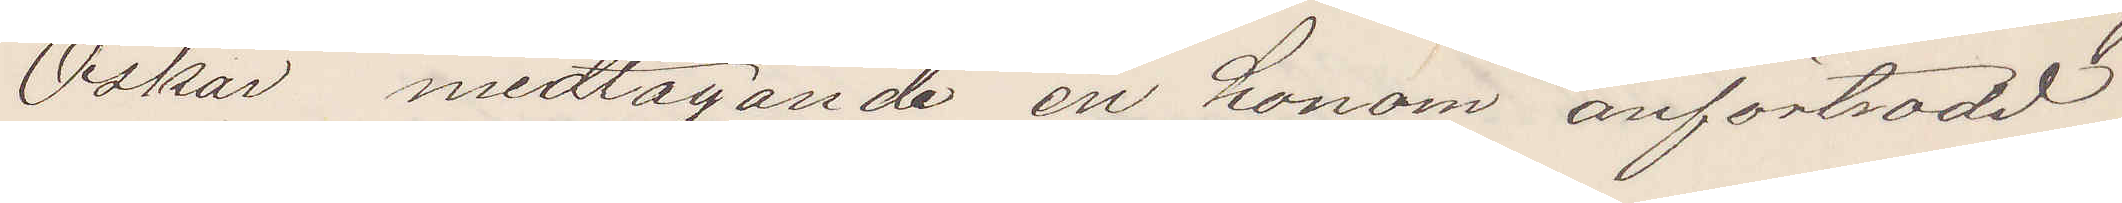Oskar medtagande en honom anförtrodd
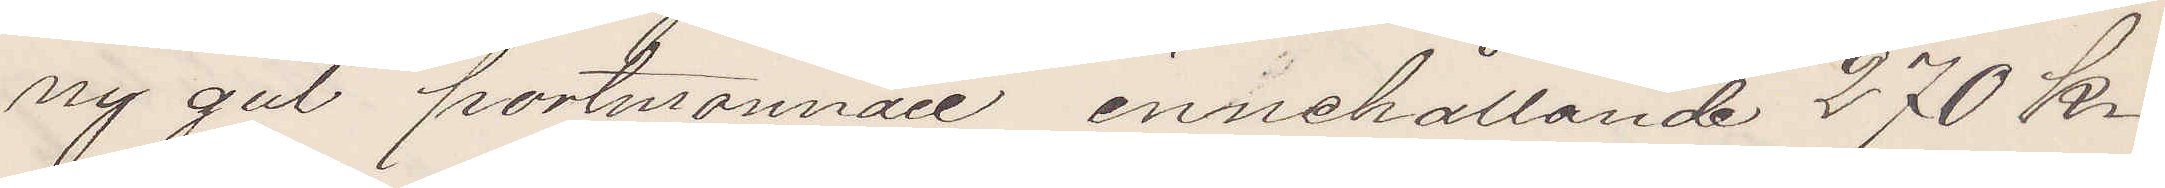ny gul portmonnaie, innehållande 270 kr
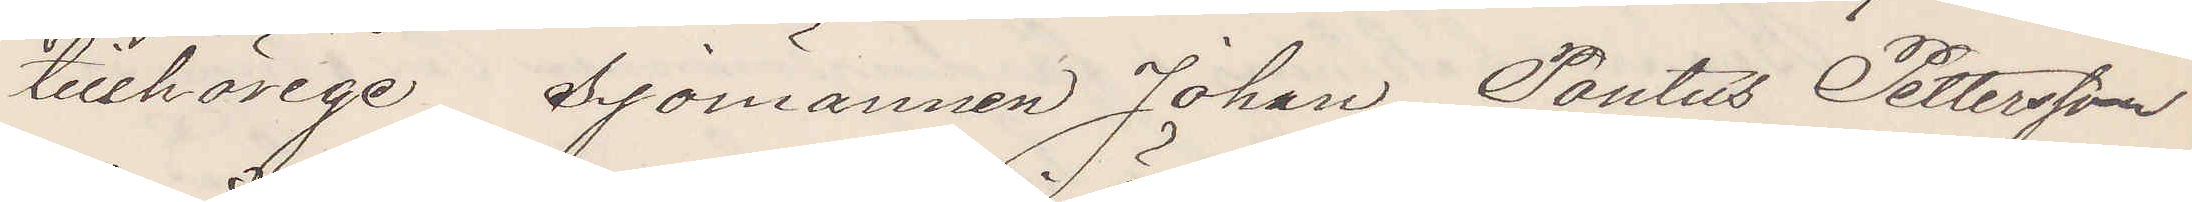tillhörige Sjömannen Johan Pontus Pettersson
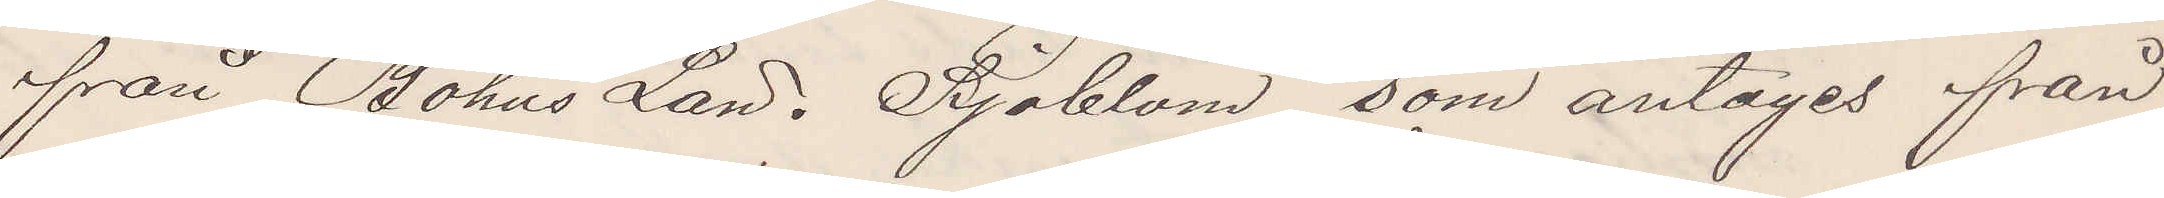från Bohus Lan. Sjöblom, som antages från
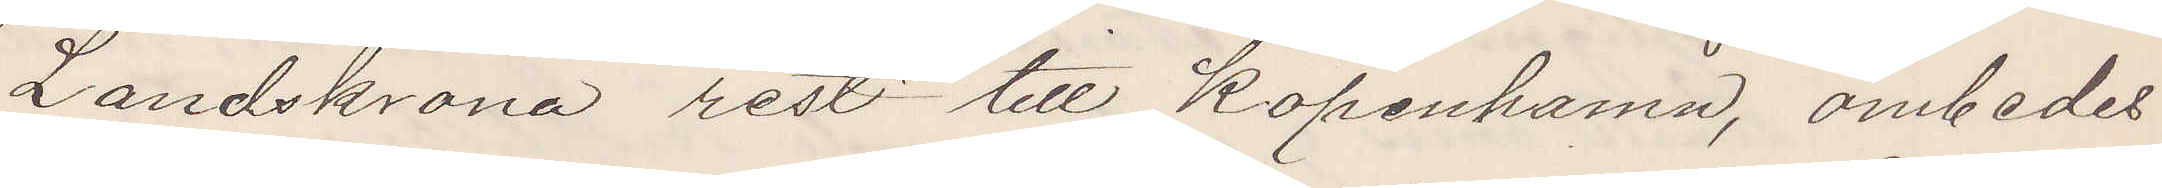Landskrona rest till Köpenhamn, ombedes
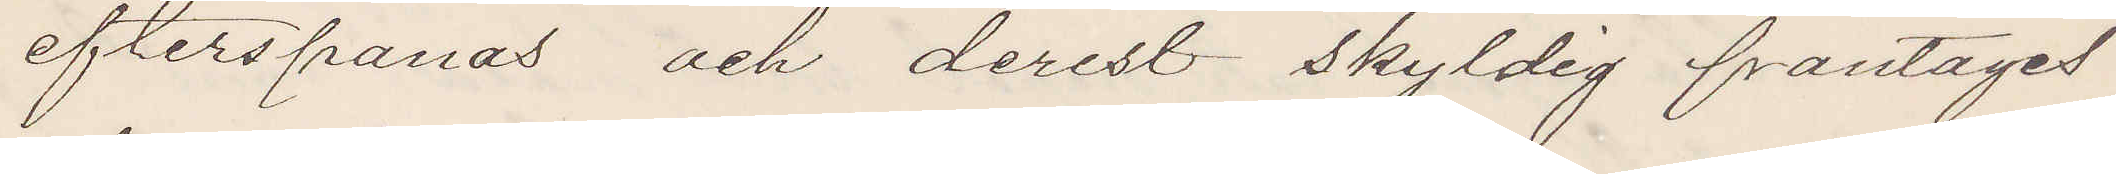efterspanas och derest skyldig fråntagit
